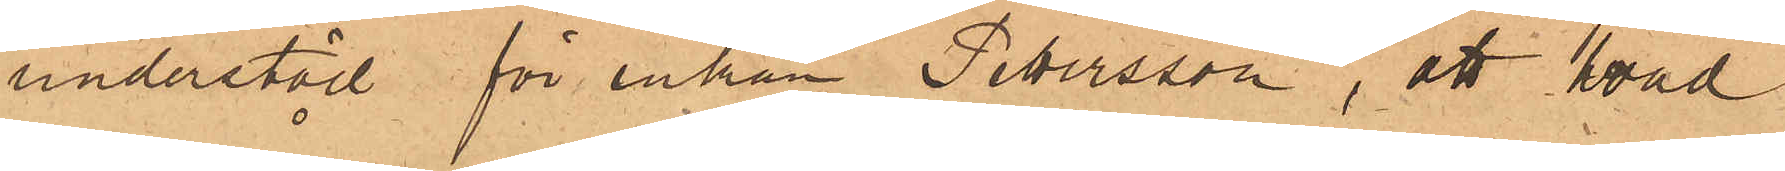understöd för enkan Petersson, att hvad
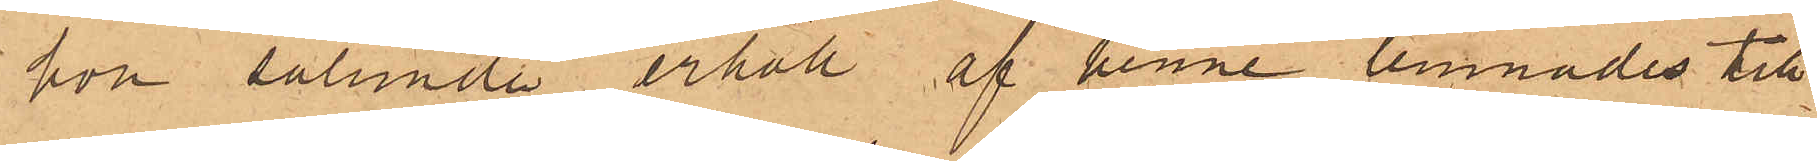hon sålunda erhöll af henne lemnades till
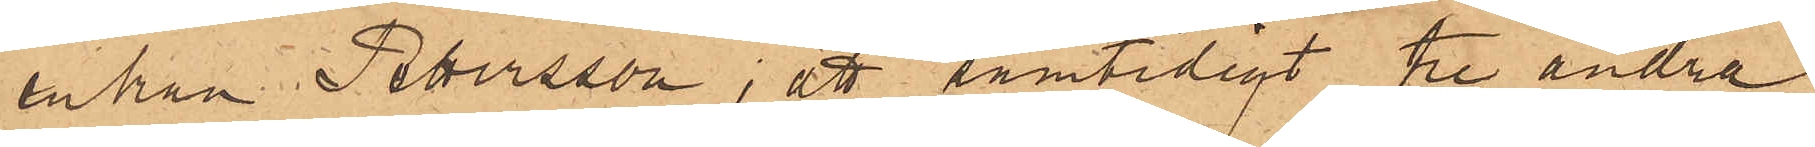enkan Petersson; att samtidigt tre andra
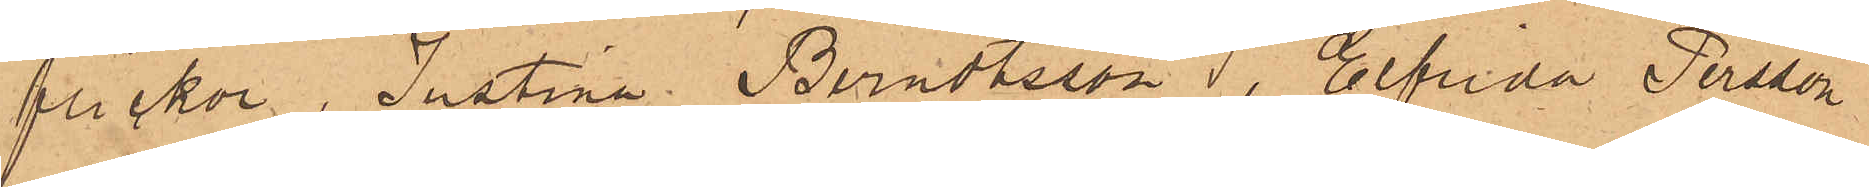flickor, Justina Berndtsson, Elfrida Persson
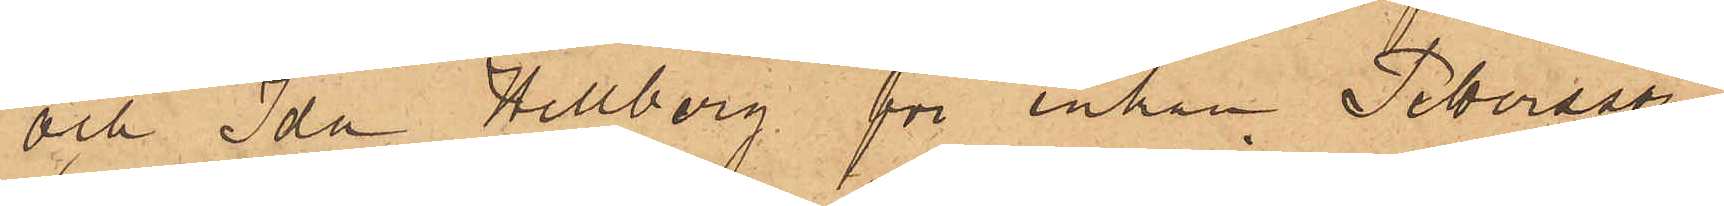och Ida Hellberg för enkan Petersson
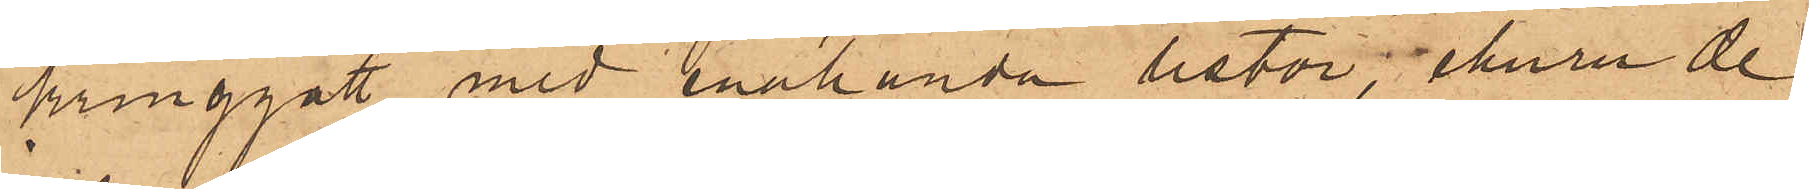kringgått med enahanda listor, ehuru de
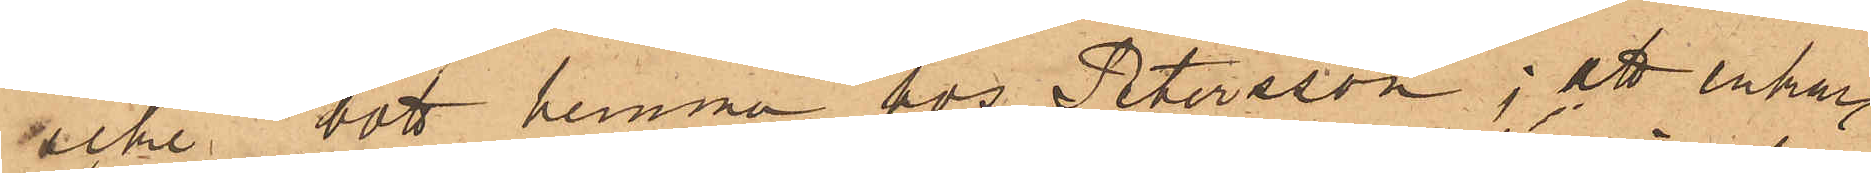icke bott hemma hos Petersson; att enkan
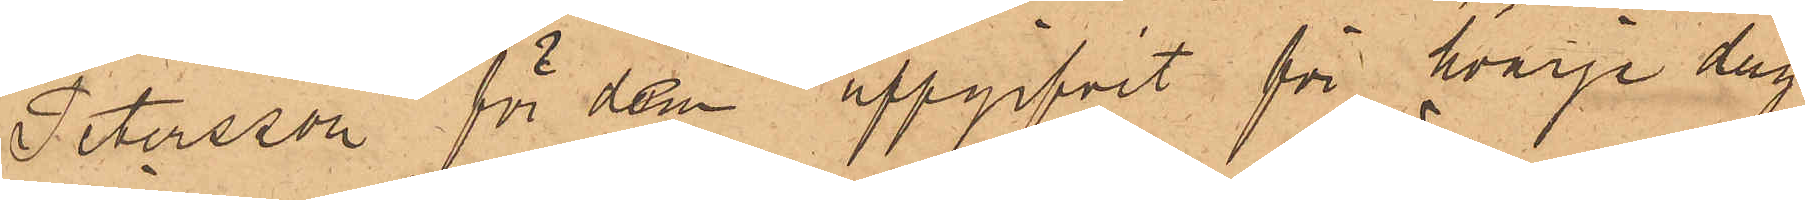Petersson för dem uppgifvit för hvarje dag
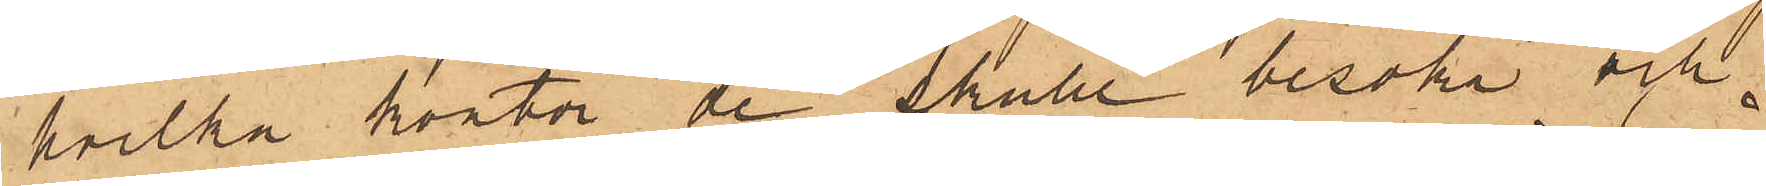hvilka kontor de skulle besöka och
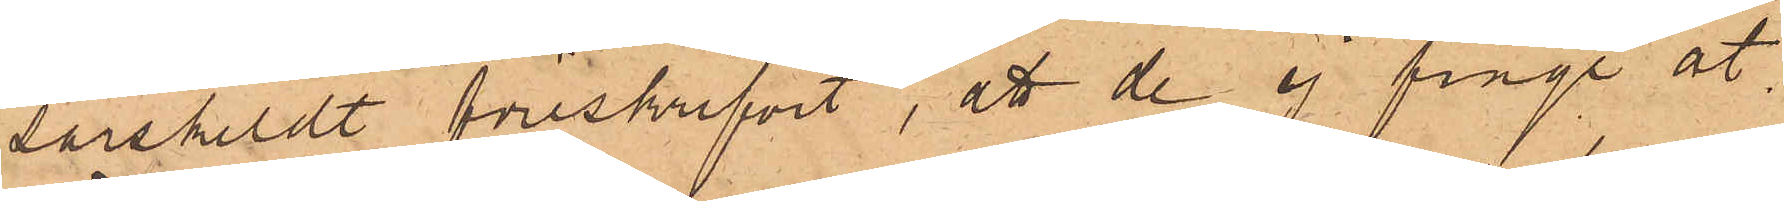särskildt föreskrifvit, att de ej finge åt¬
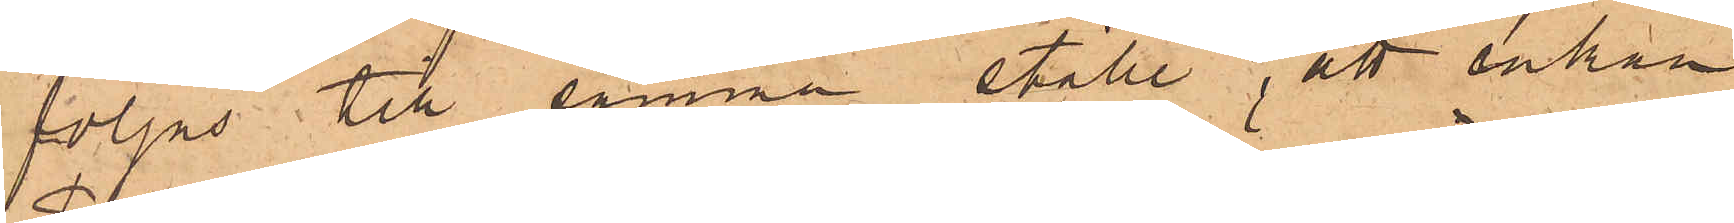följas till samma ställe, att enkan
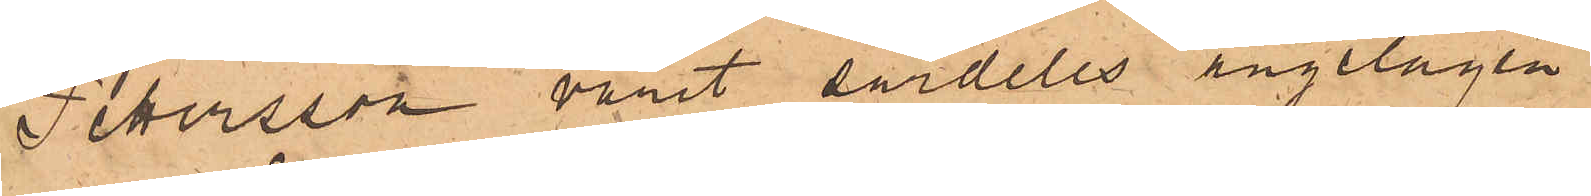Pettersson varit särdeles angelägen
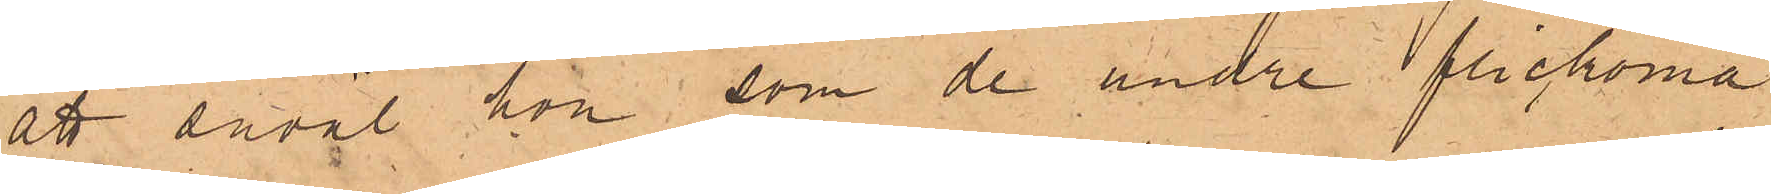att såväl hon som de andre flickorna
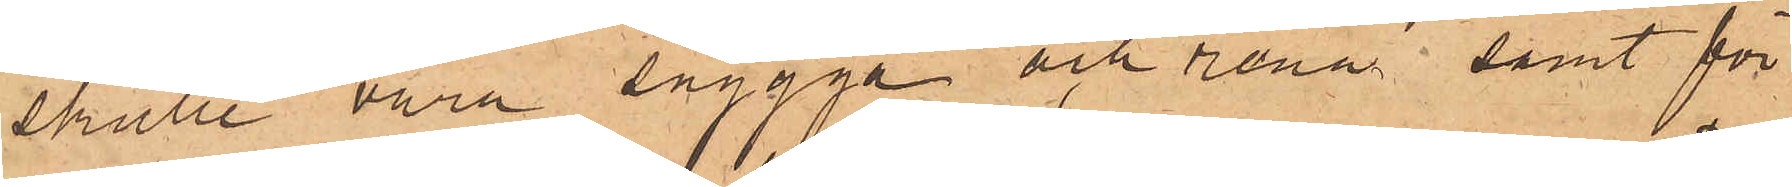skulle vara snygga och rena samt för
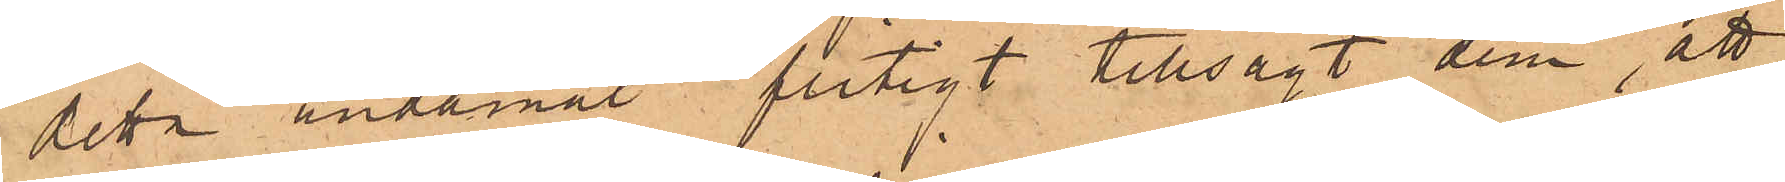detta ändamål flitigt tillsagt dem, att
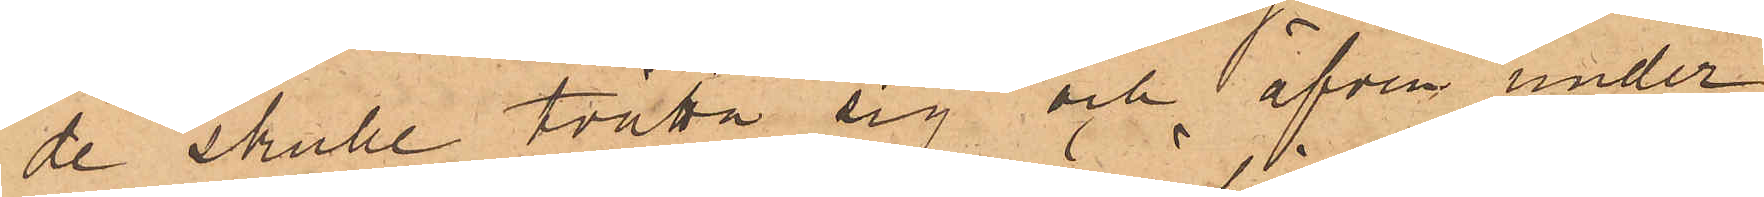de skulle tvätta sig och äfven under¬
